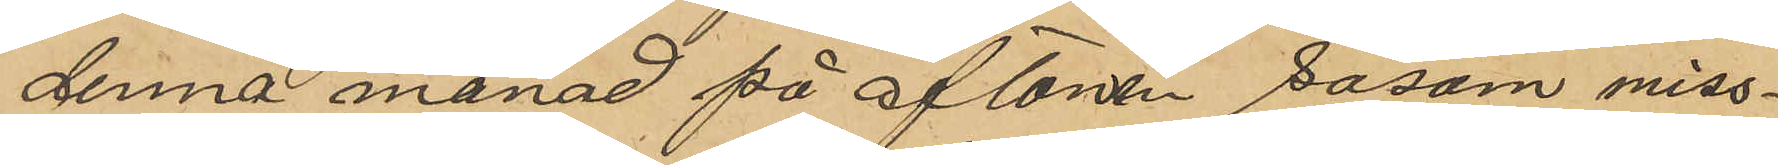denna månad på aftonen såsom miss¬
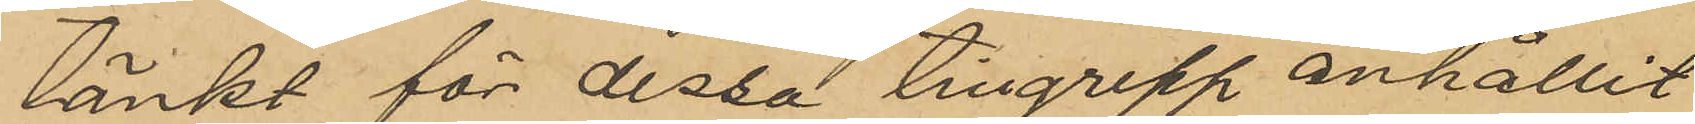tänkt för dessa tillgrepp anhållit
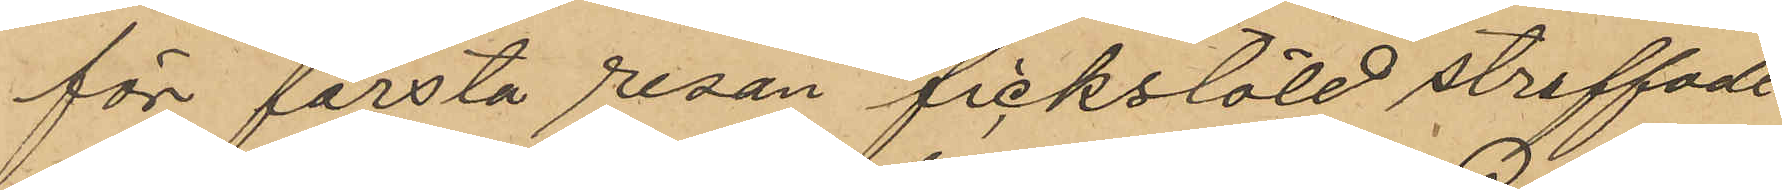för första resan fickstöld straffade
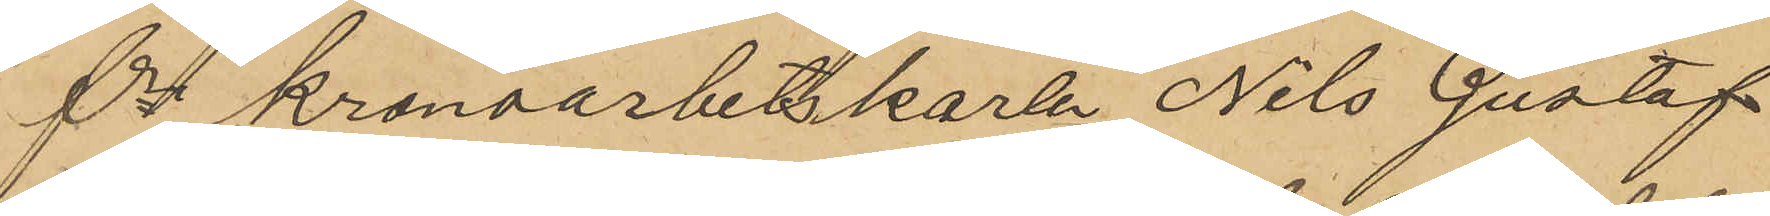fre kronoarbetskarlen Nils Gustaf
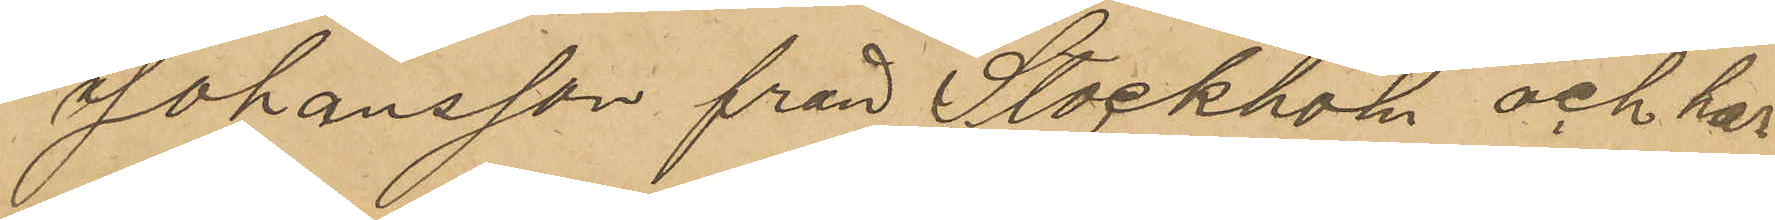Johansson från Stockholm och har
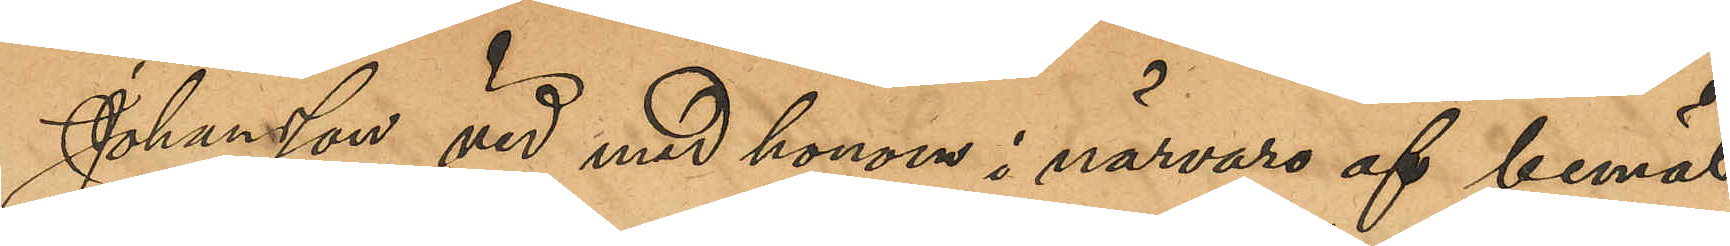Johansson vid med honom i närvaro af bemäl¬
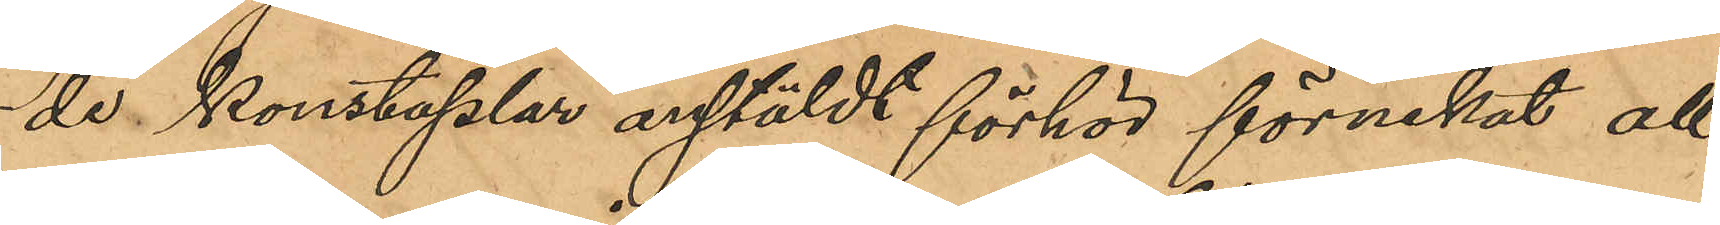de konstaplar anstäldt förhör förnekat all
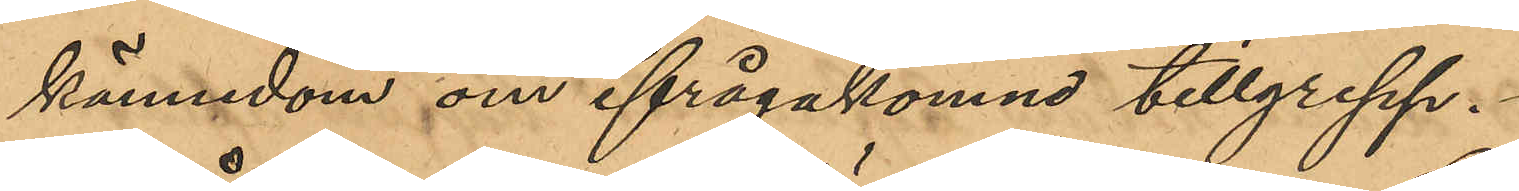kännedom om ifrågakomne tillgrepp.
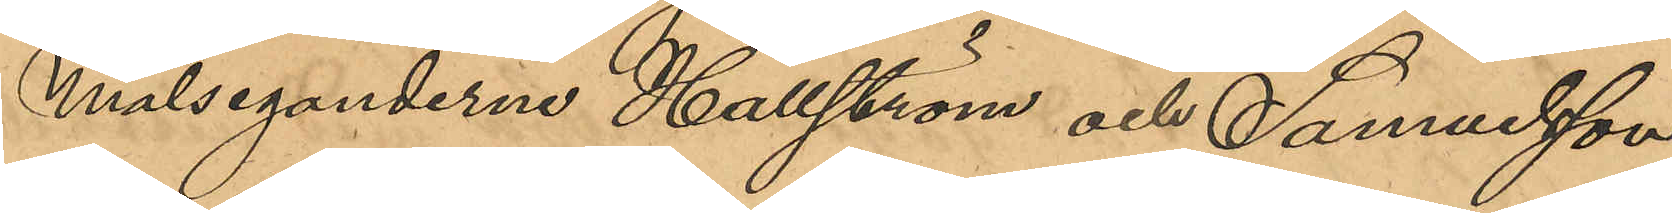Målseganderne Hällström och Samuelsson
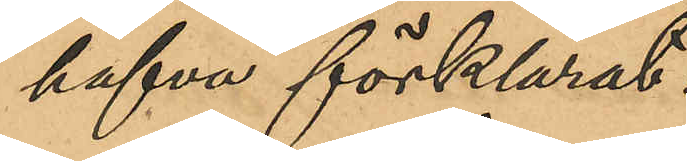hafva förklarat:
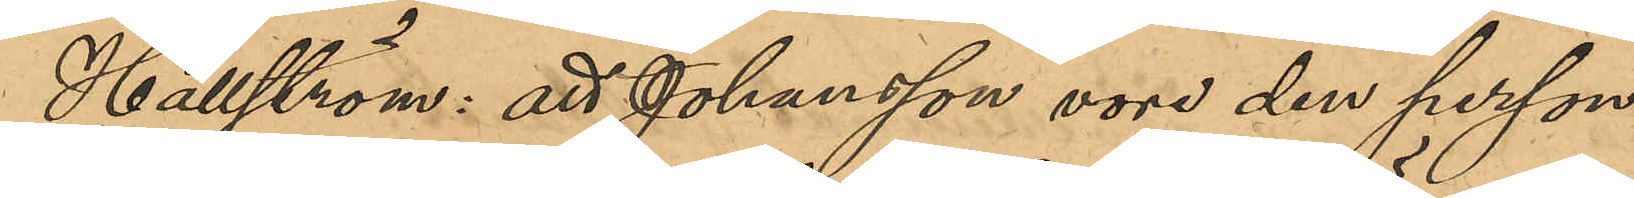Hällström: att Johansson vore den person,
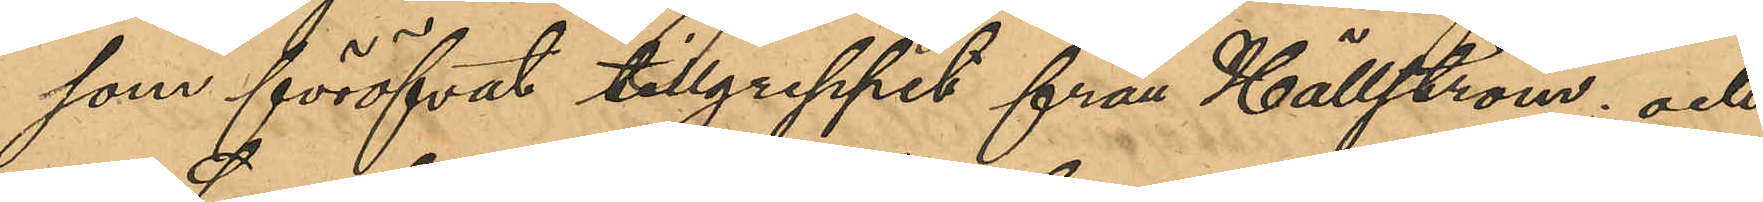som föröfvat tillgreppet från Hällström; och
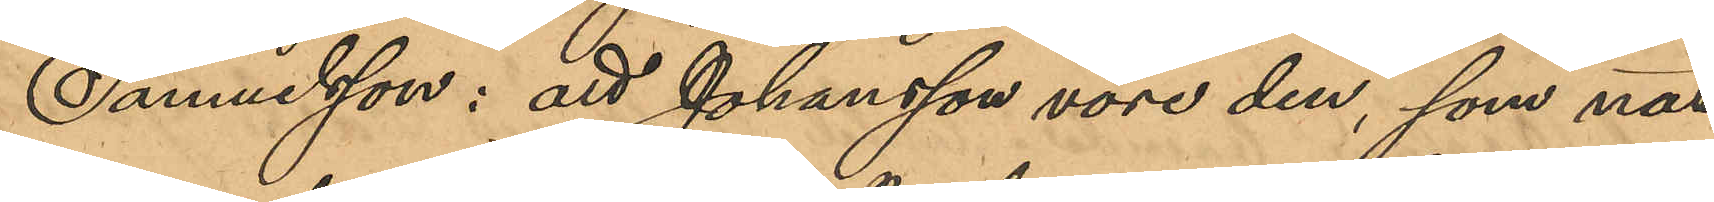Samuelsson: att Johansson vore den, som nat¬
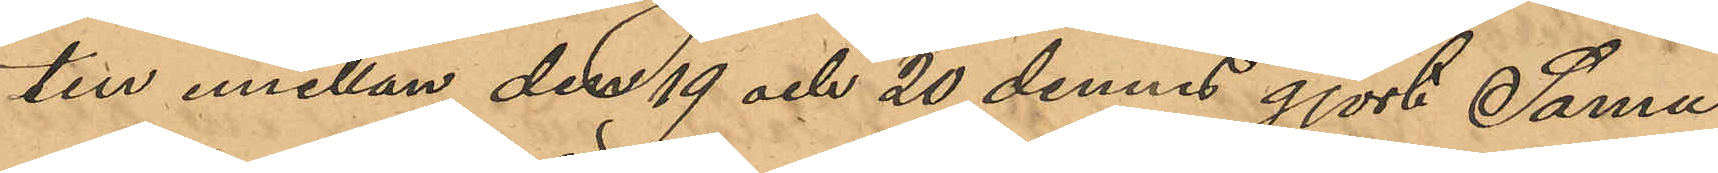ten emellan den 19 och 20 dennes gjort Samu¬
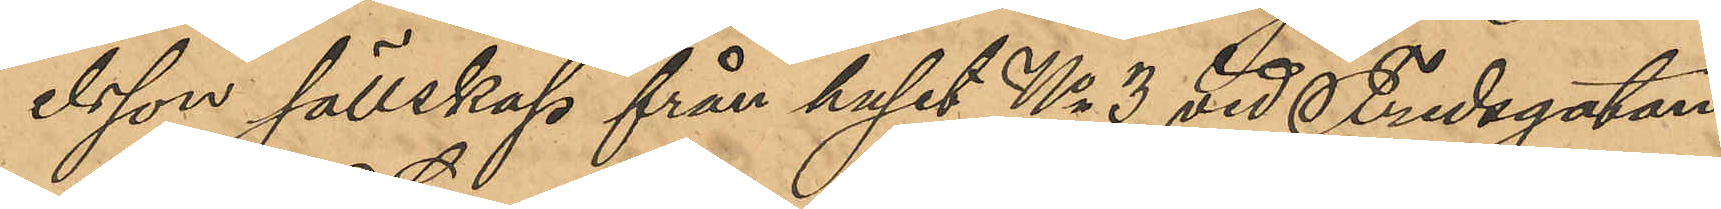elsson sällskap från huset No 3 vid Fredsgatan,
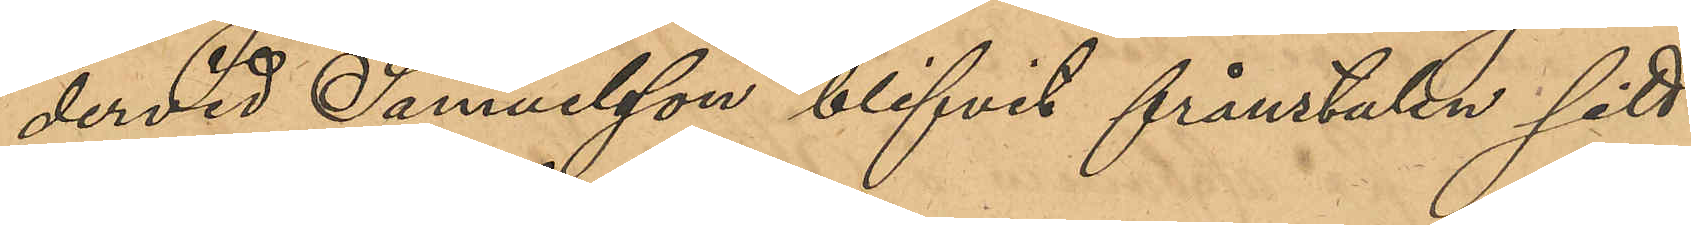dervid Samuelsson blifvit frånstulen sitt
